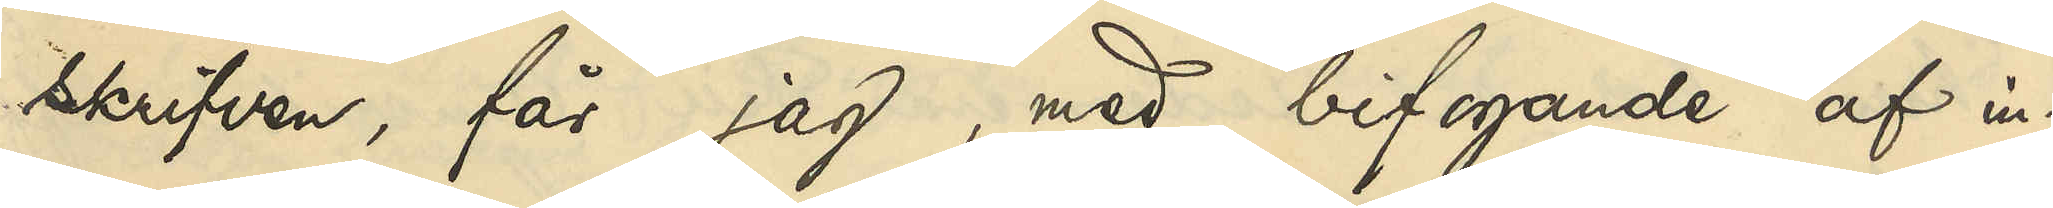skrifven, får jag, med bifogande af in¬
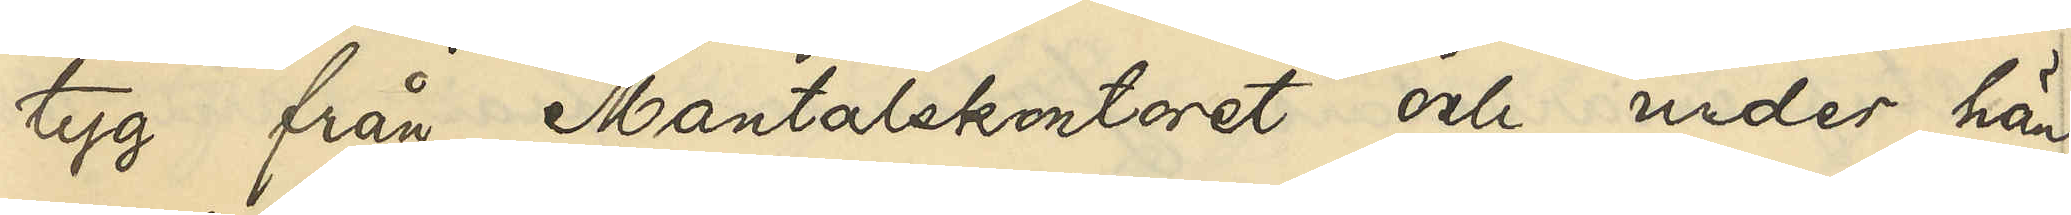tyg från Mantalskontoret och under hän¬
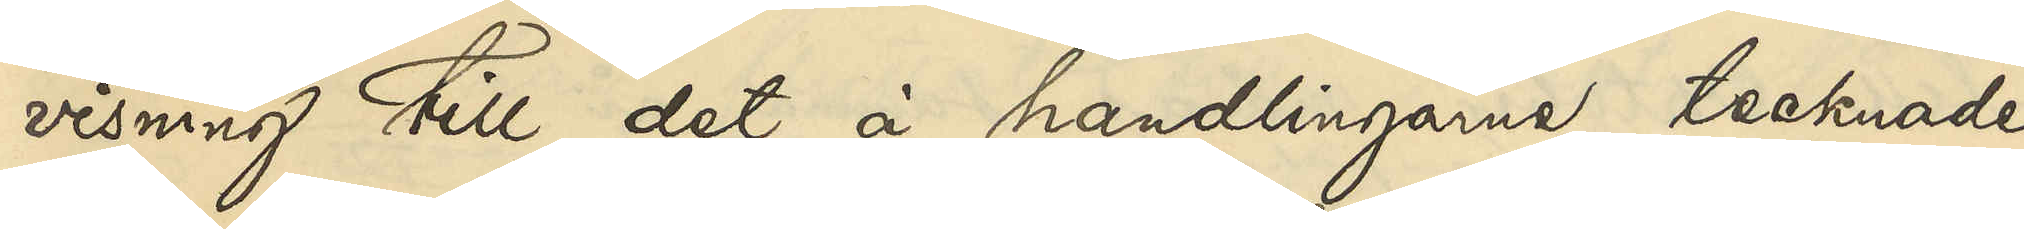visning till det å handlingarne tecknade
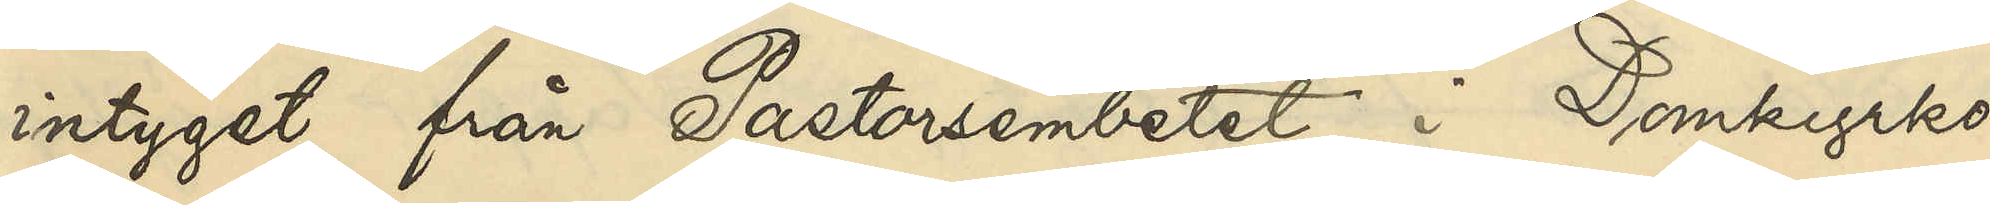intyget från Pastorsembetet i Domkyrko¬
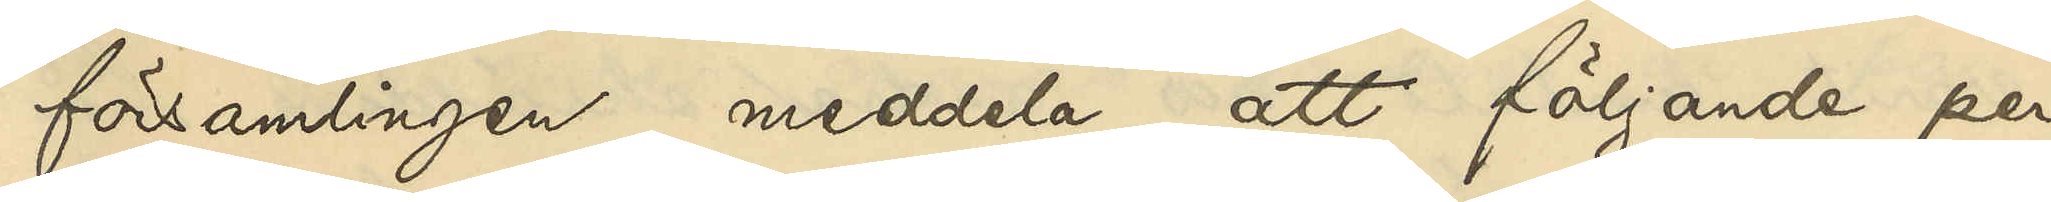församlingen, meddela, att följande per¬
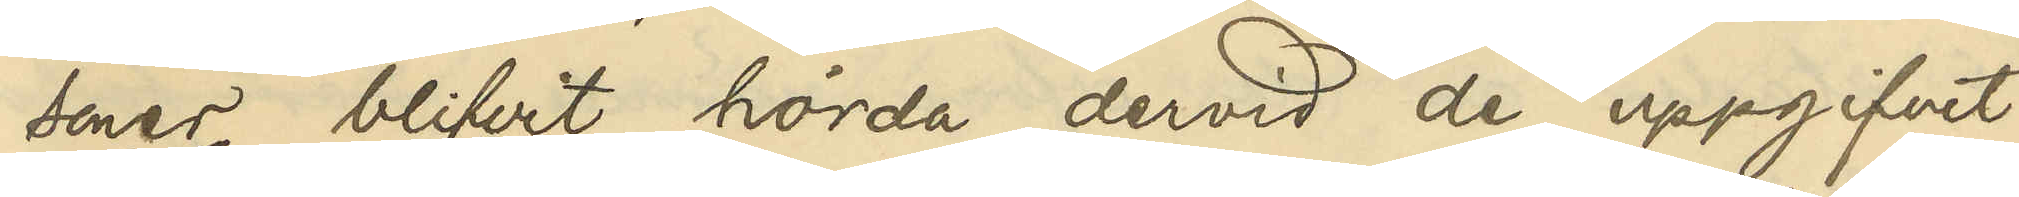soner blifvit hörda, dervid de uppgifvit:
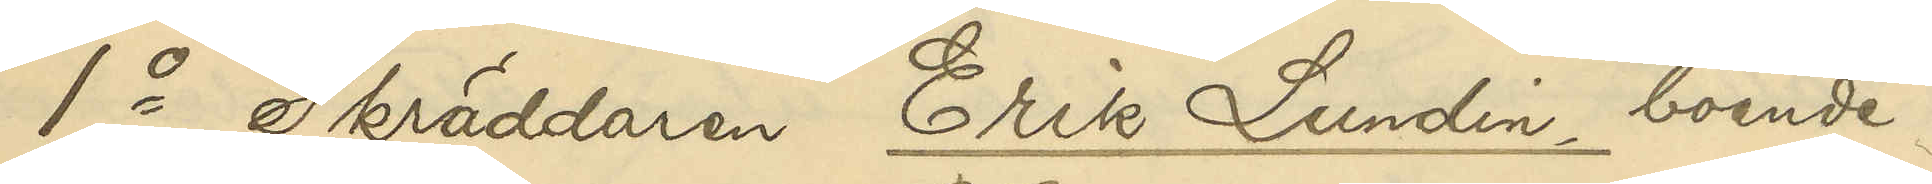1o Skräddaren Erik Lundin boende i
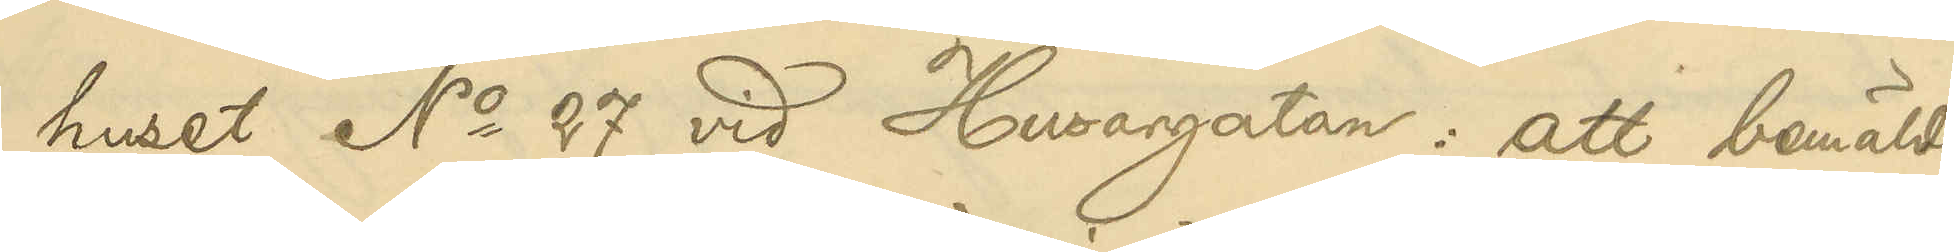huset No 27 vid Husargatan: att bemälde
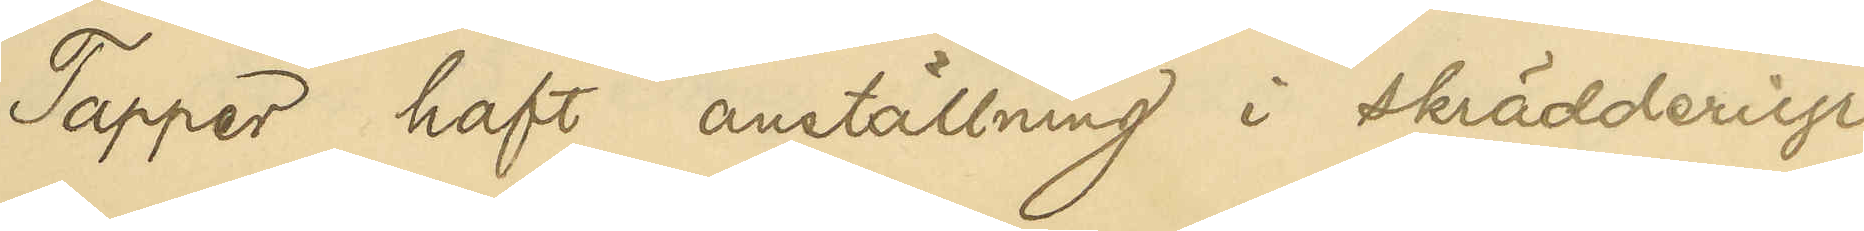Tapper haft anställning i skrädderiyr¬
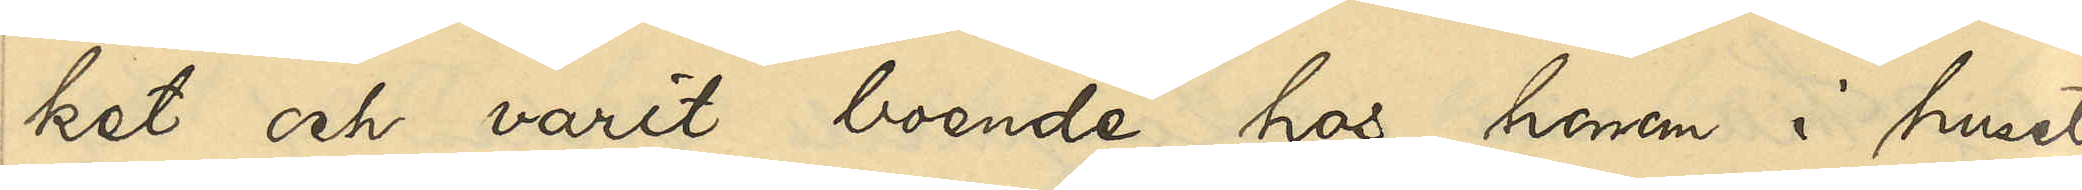ket och varit boende hos honom i huset
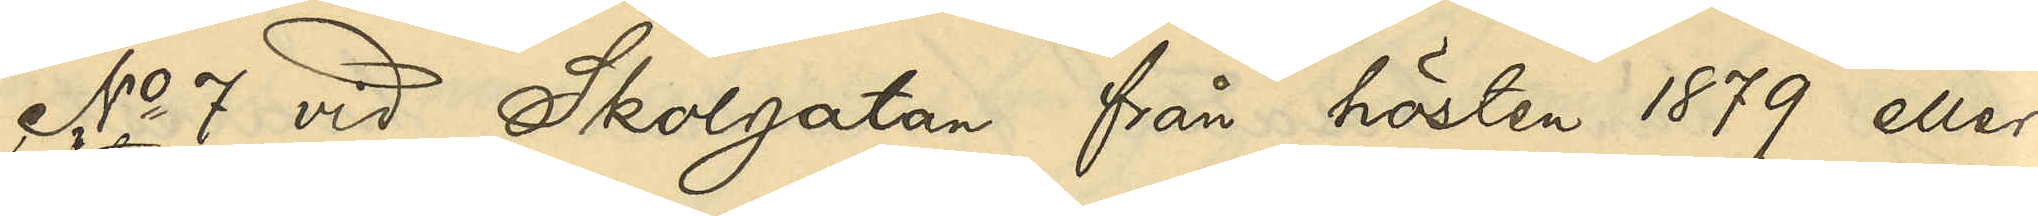No 7 vid Skolgatan från hösten 1879 eller
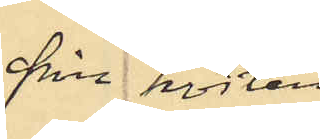från hösten
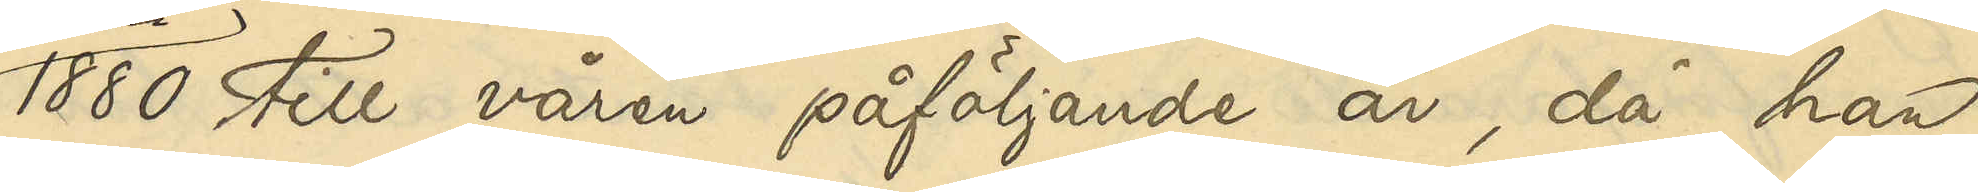1880 till våren påföljande år, då han
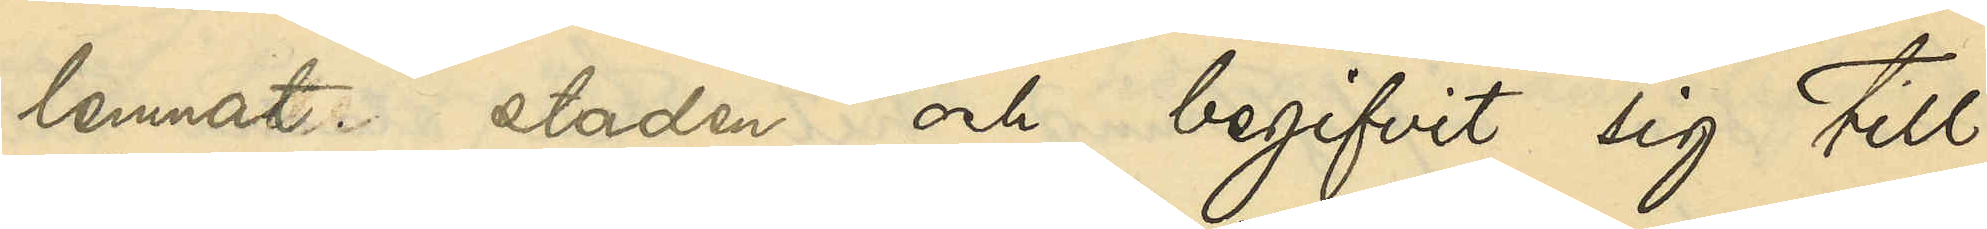lemnat staden och begifvit sig till
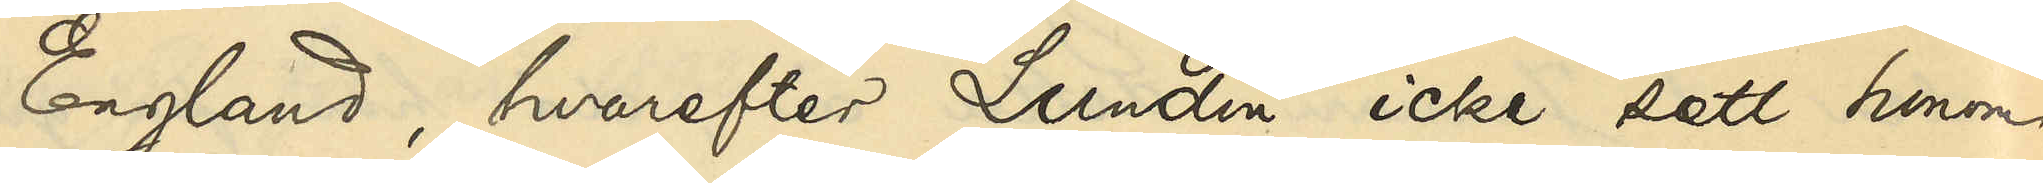England, hvarefter Lundin icke sett honom.
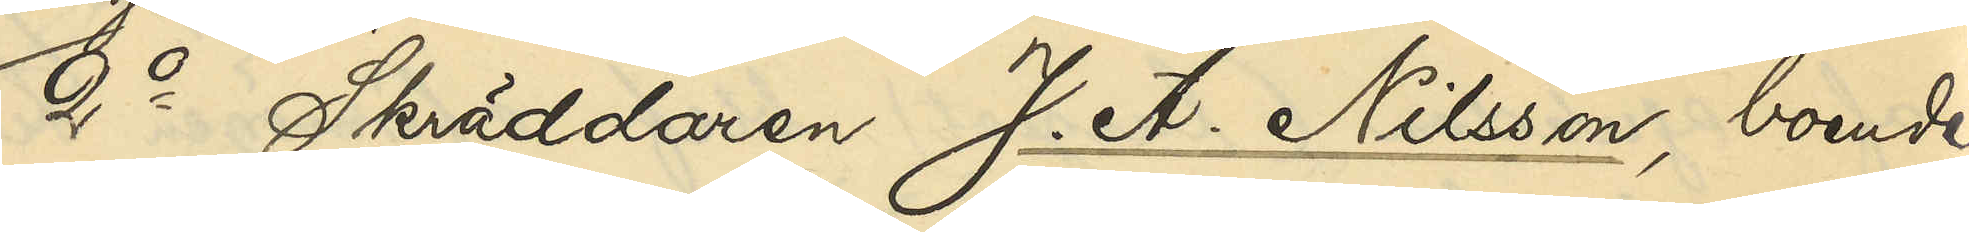2o Skräddaren J. A. Nilsson, boende i
